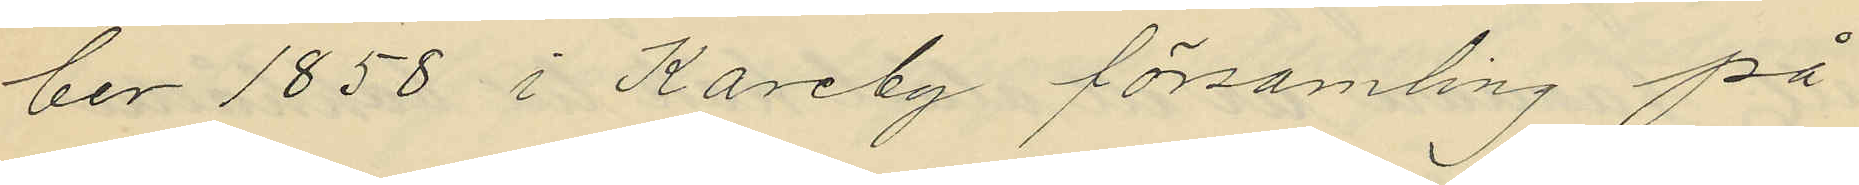ber 1858 i Kareby församling på
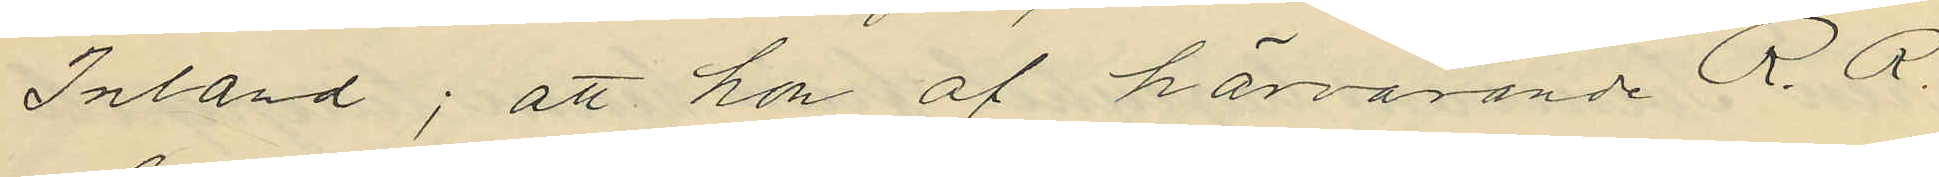Inland; att hon af härvarande R. R.
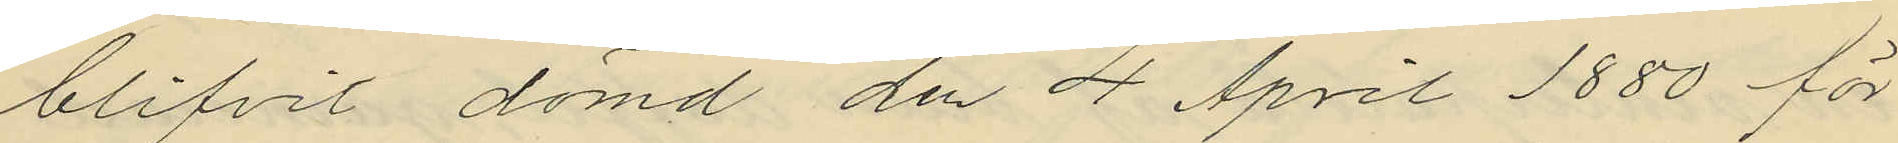blifvit dömd den 4 April 1880 för
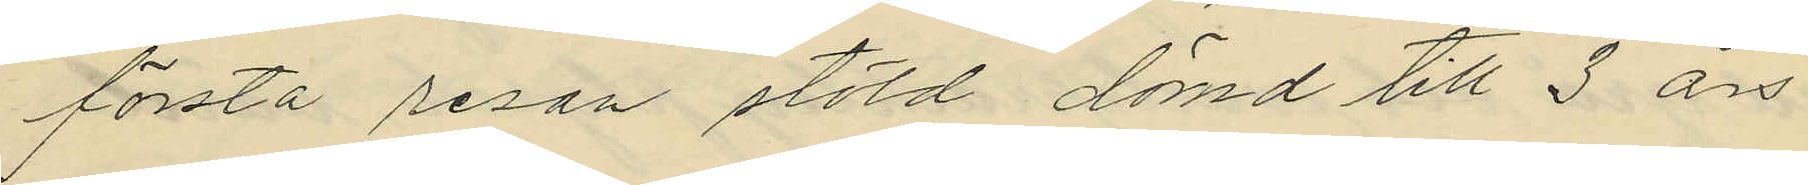första resan stöld dömd till 3 års
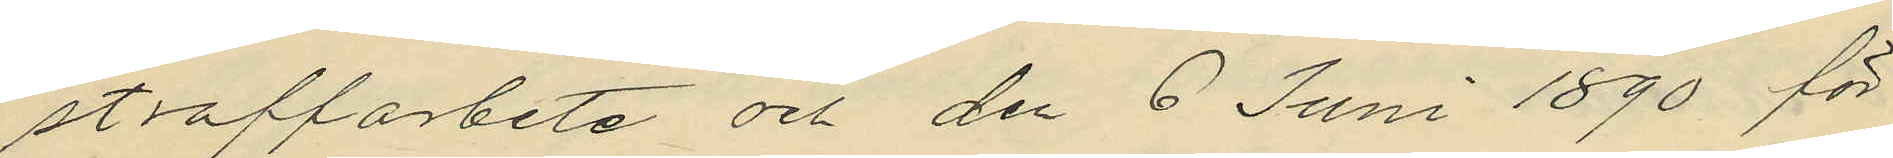straffarbete och den 6 Juni 1890 för
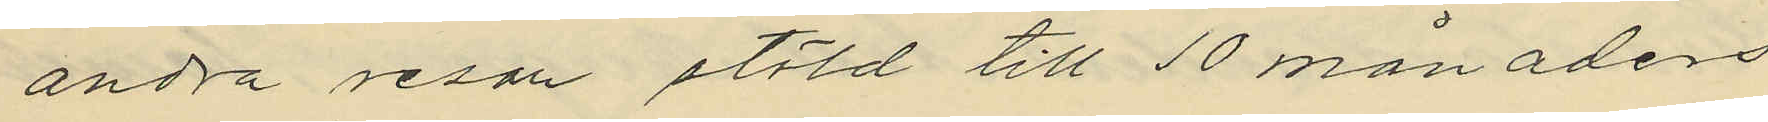andra resan stöld till 10 månaders
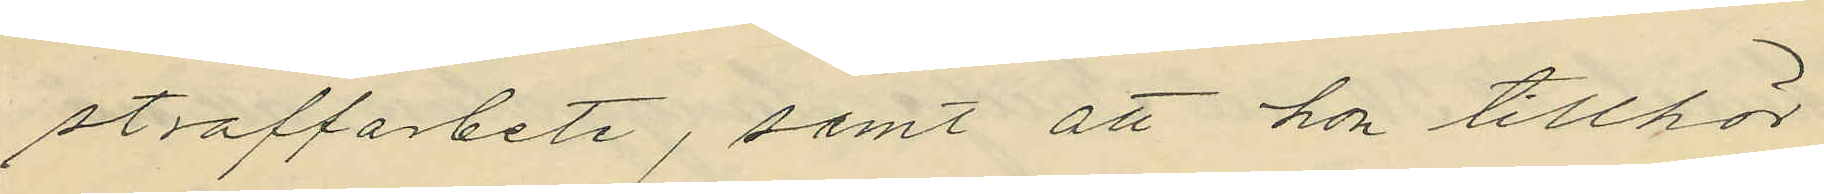straffarbete, samt att hon tillhör
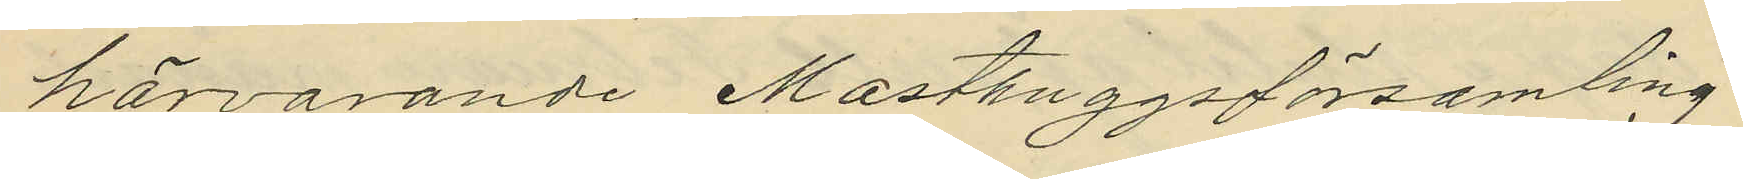härvarande Masthuggsförsamling.
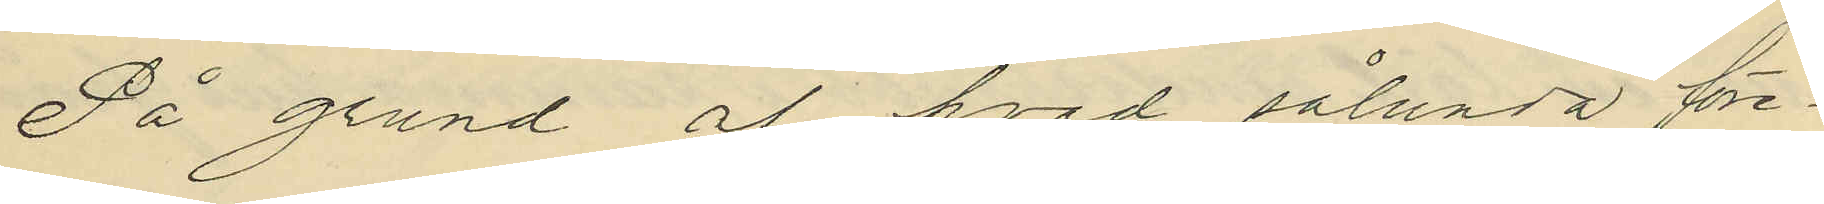På grund af hvad sålunda före¬
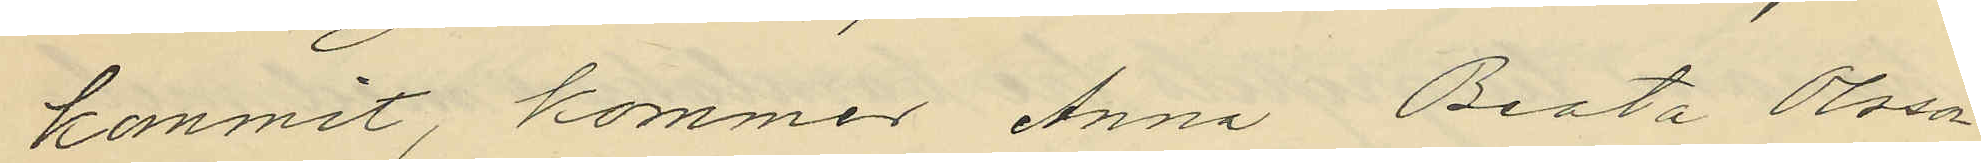kommit, kommer Anna Beata Olsson
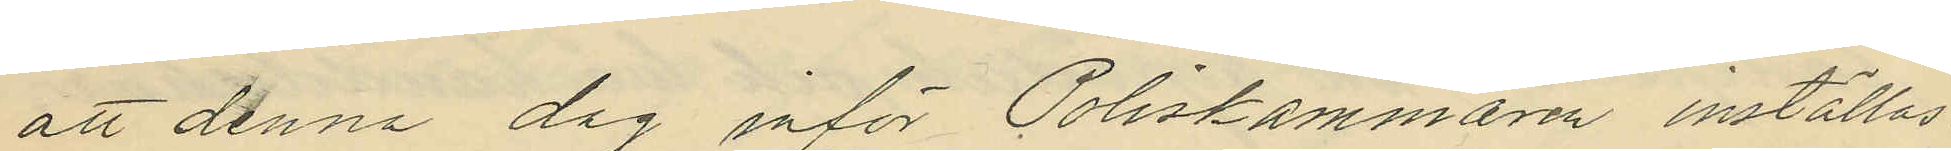att denna dag inför Poliskammaren inställas
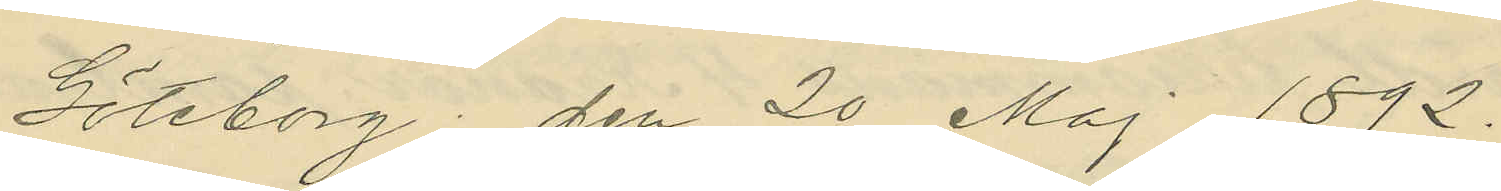Göteborg den 20 Maj 1892.
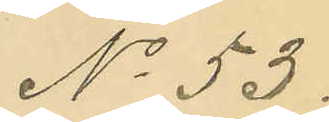No 53.
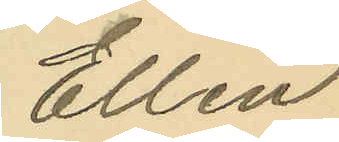Ellen
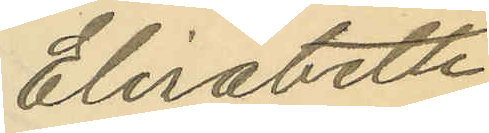Elisabeth
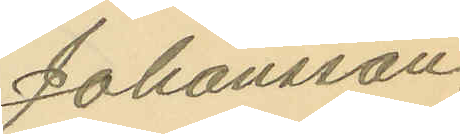Johansson.
